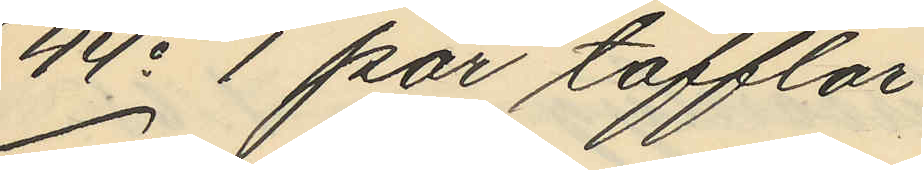44o 1 par tofflor
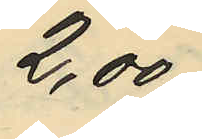2,00
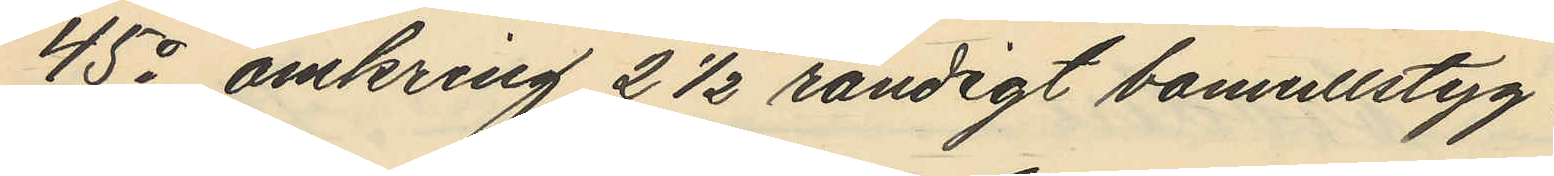45o omkring 2 ½ randigt bomullstyg
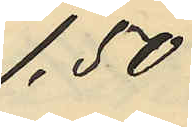1,50
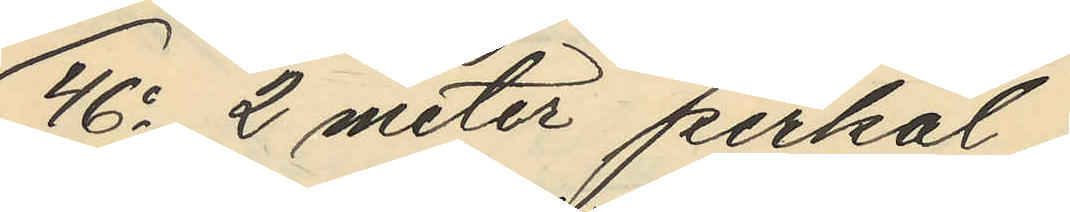46o 2 meter perkal
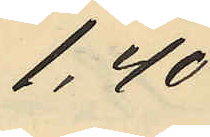1,40
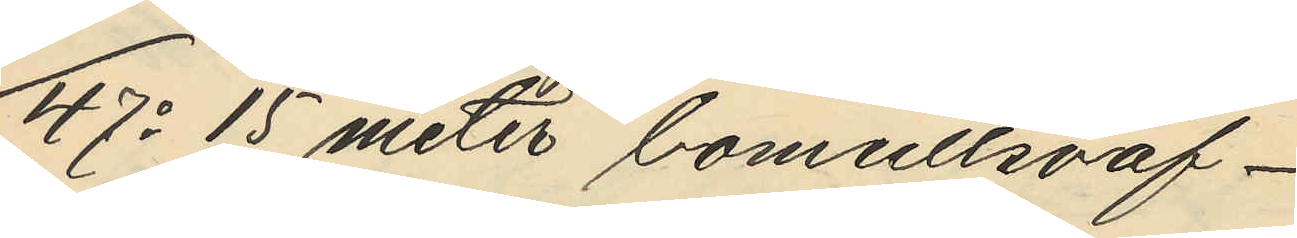47o 15 meter bomullsväf
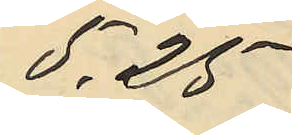5,25
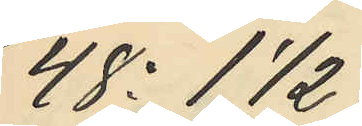48o 11/2
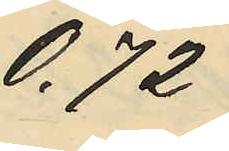0,72
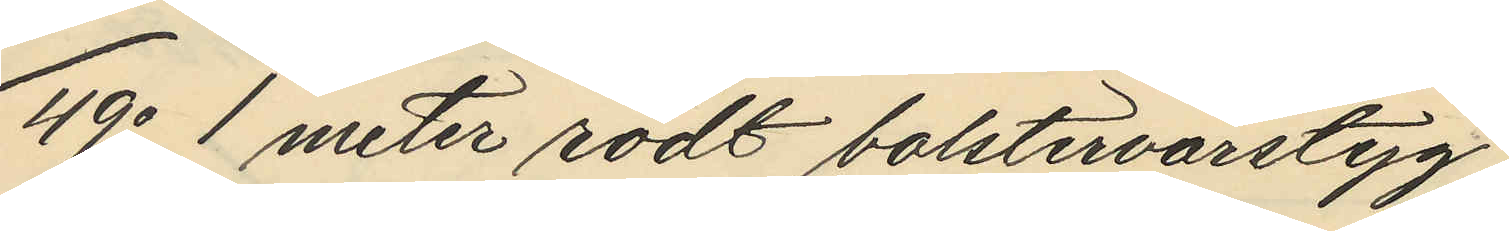49o 1 meter rödt bolstervarstyg
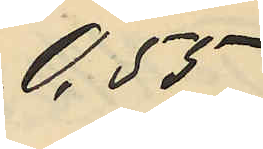0,55
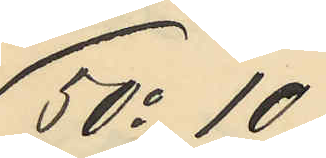50o 10
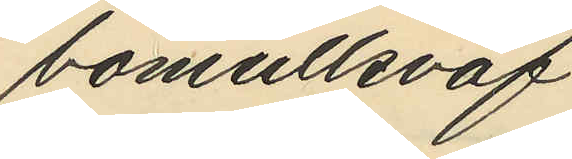bomullsväf
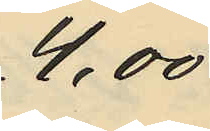4,00
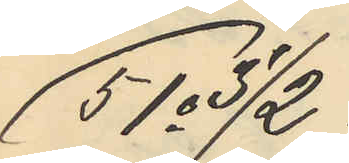51o 31/2
